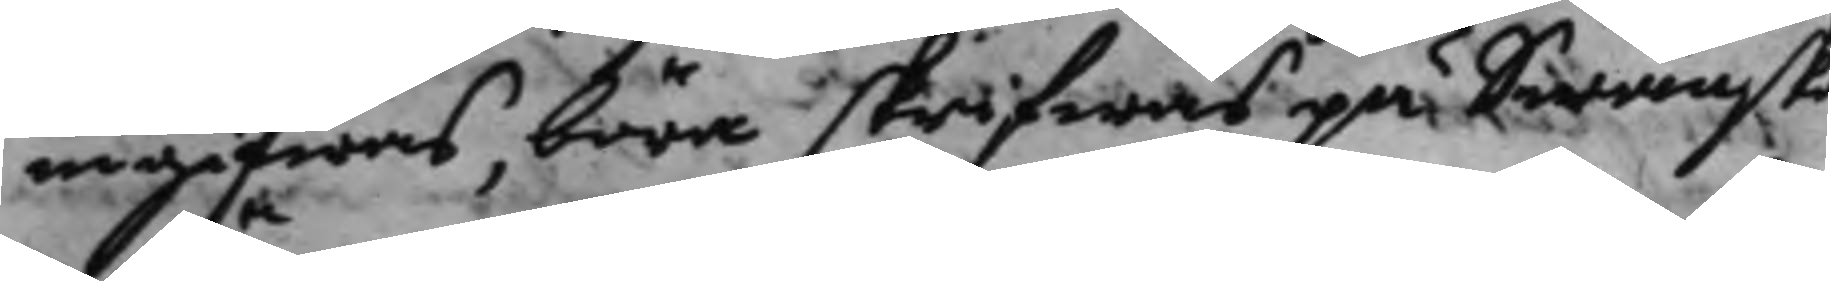ingifwas, böra skrifwas på Swänska
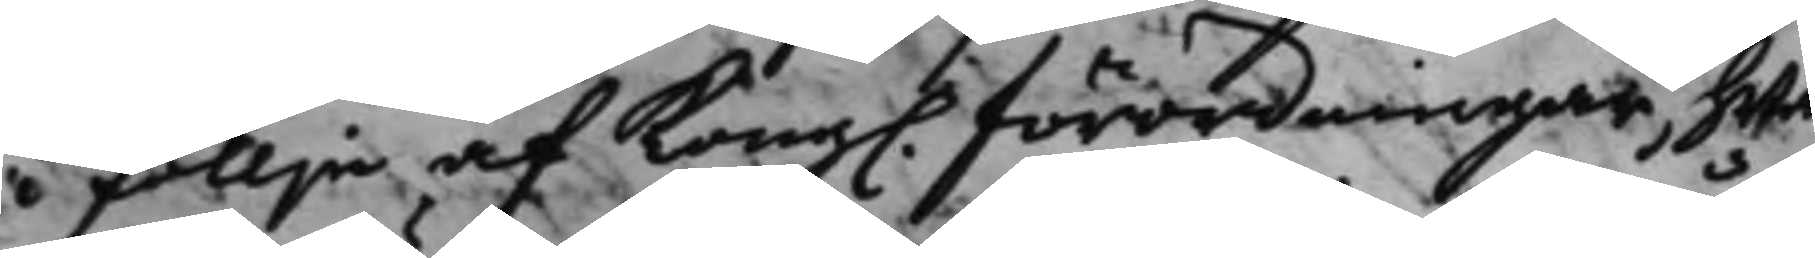i föllje af Kong. förordningar, hwar¬
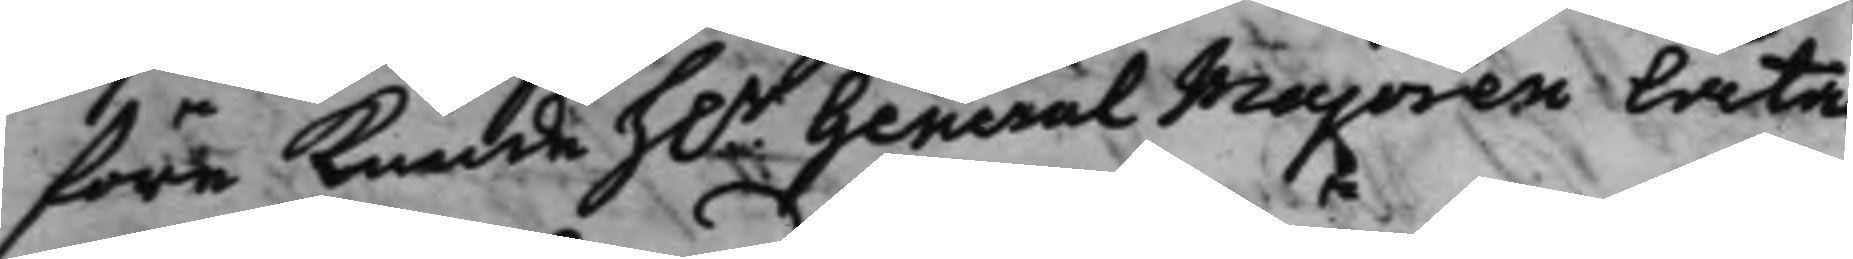före kunde h.r General Majoren låta
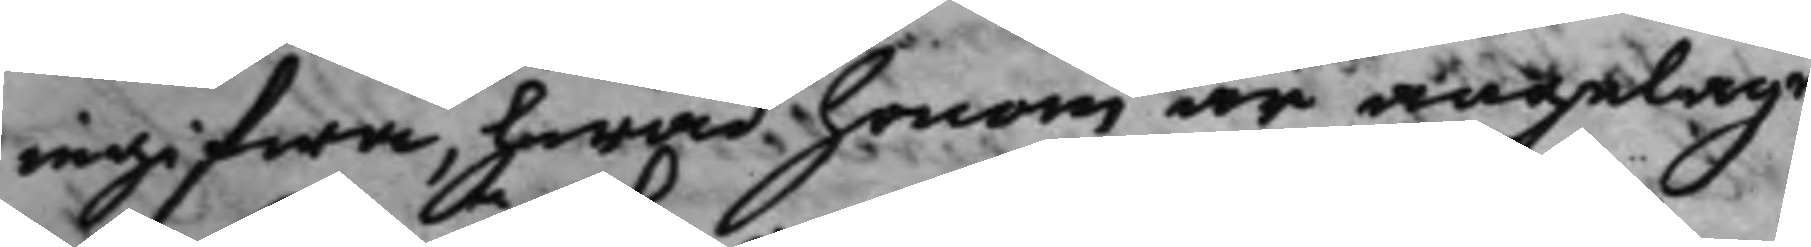ingifwa, hwad honom är angeläge
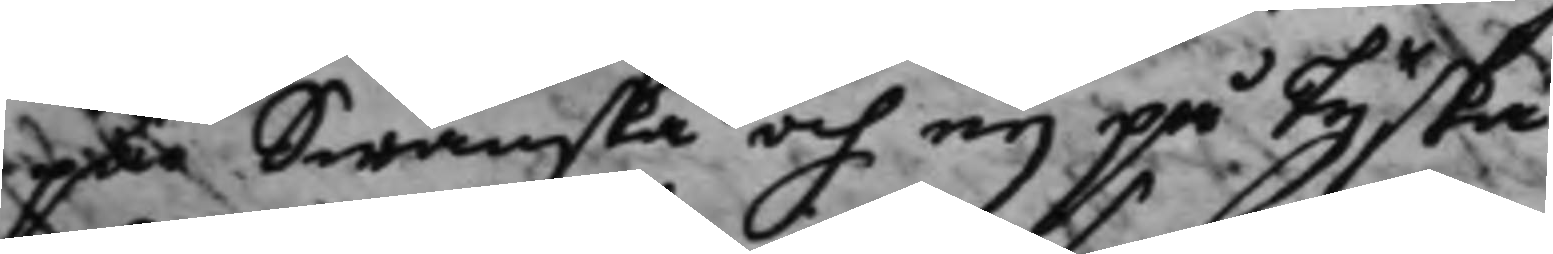på Swänska och eij på Tyska.
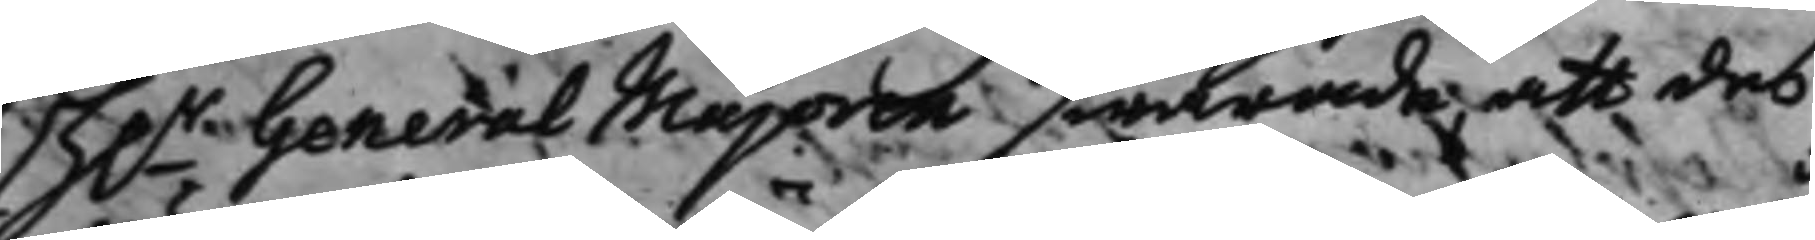H.r General Majoren swarade, att des
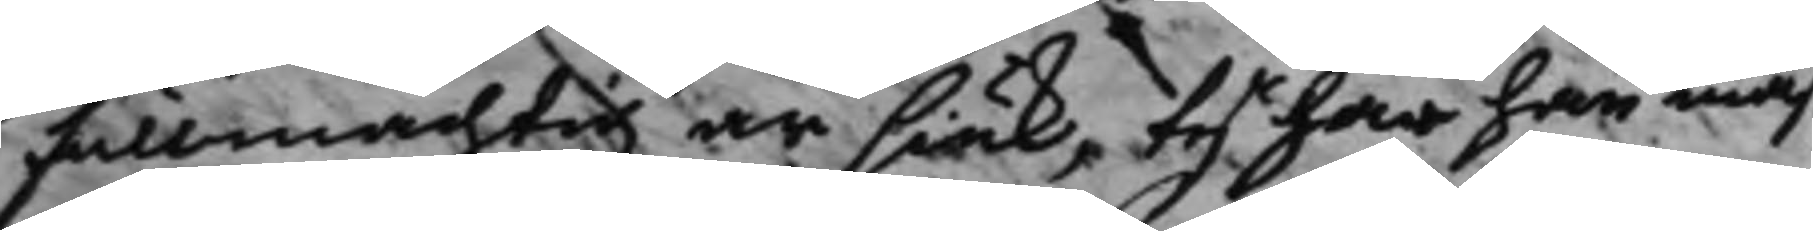fullmächtig är siuk, tyr har han mås 
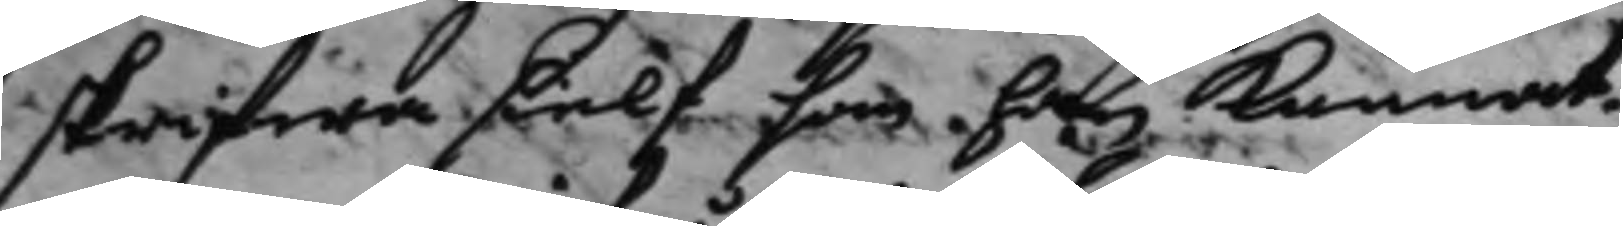skrifwa sielf som han kunnat.
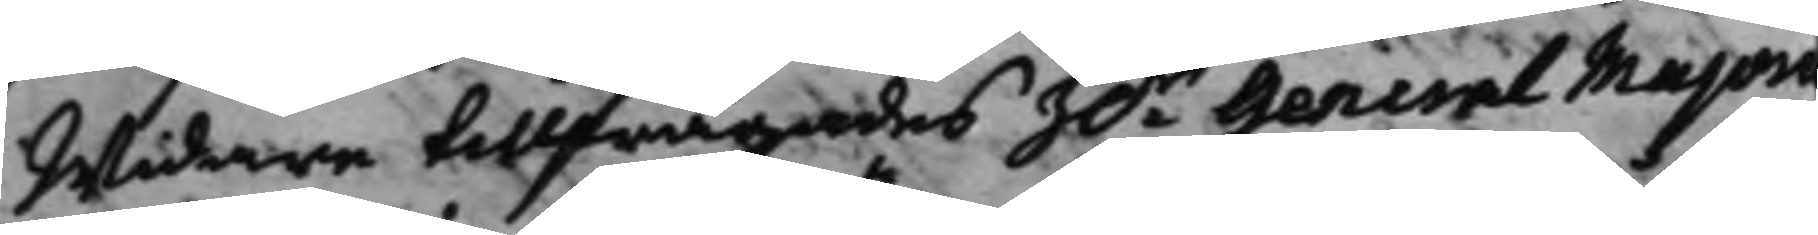Widare tillfrågades h.r General Major
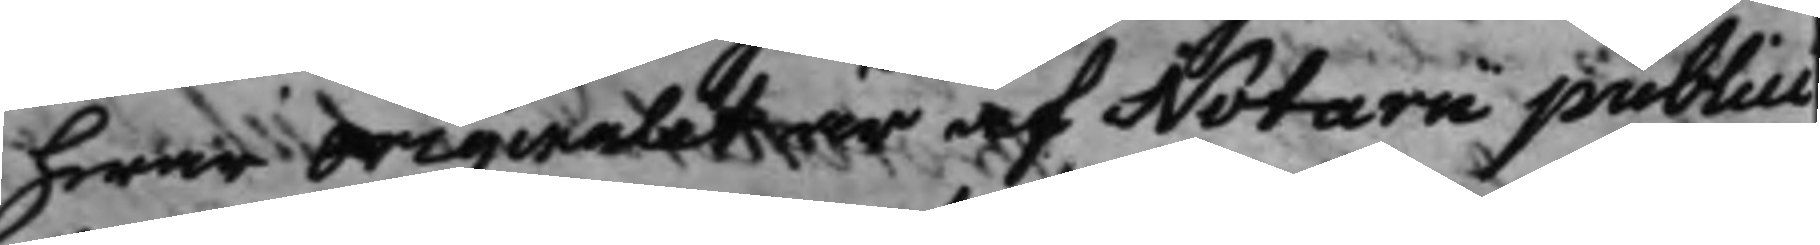hwar originalet är af Notarii publici
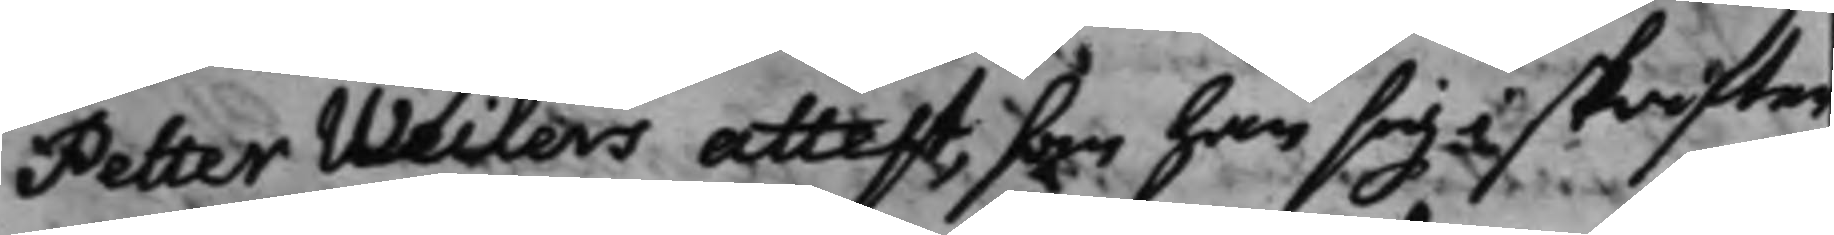Petter Weilers attest, som han sig i skrifter¬
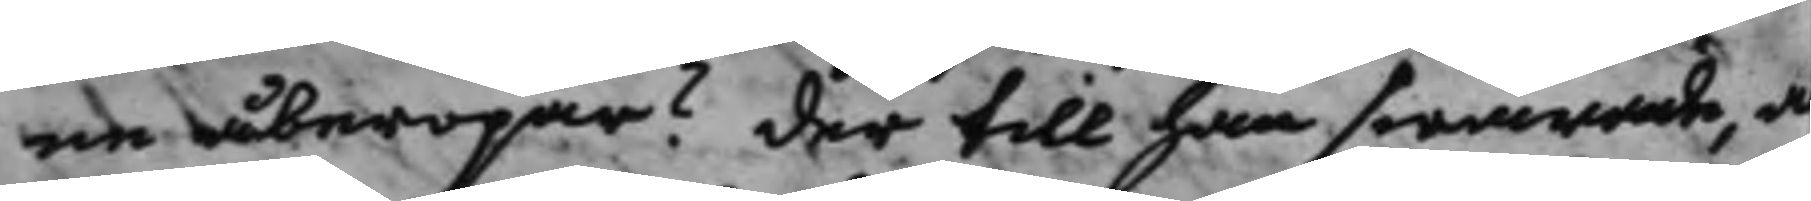ne åberopar? der till han swarade, a
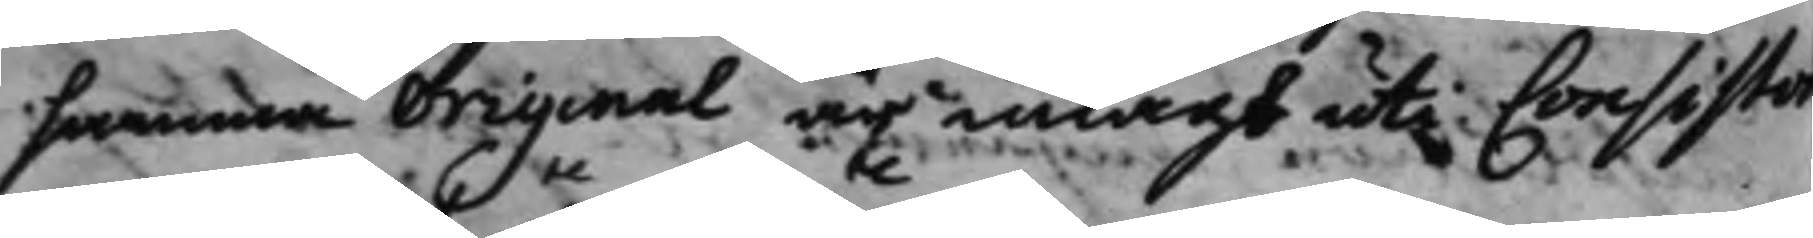samma Original är inlagt uti Consistor
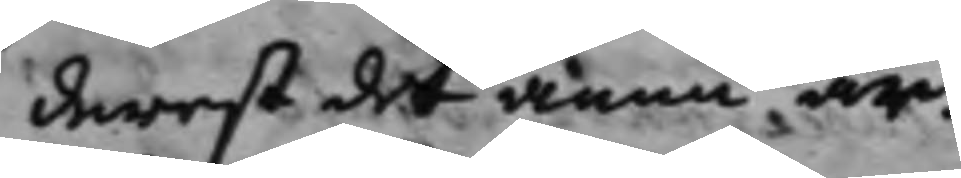derest det ännu är.
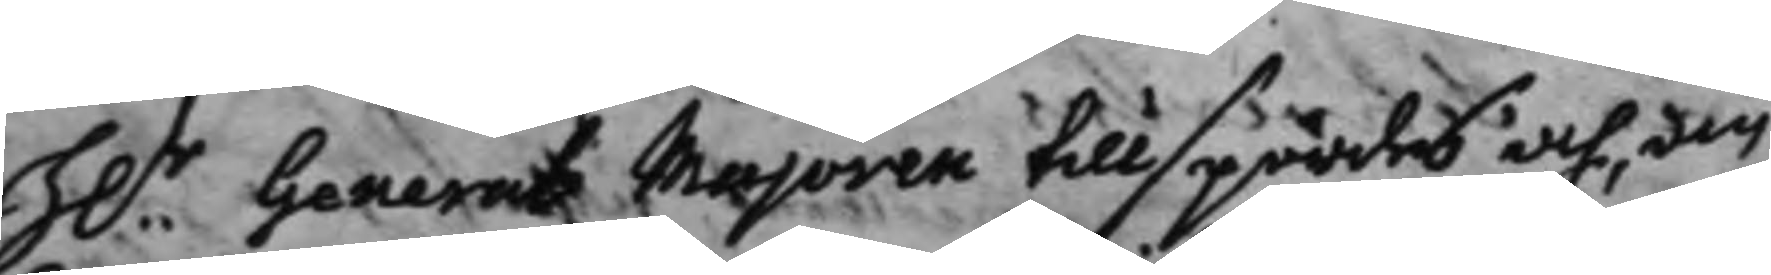H.r General Majoren tillspordes och, der
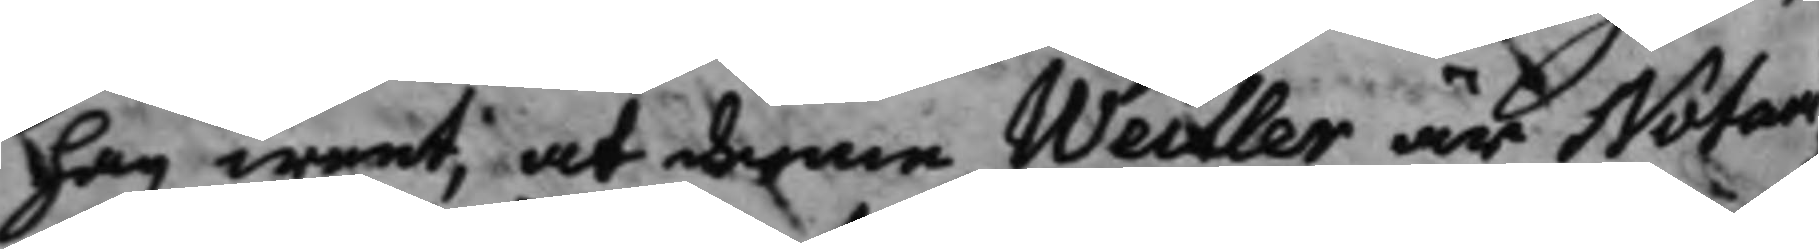han weet, at denne Weiller är Notar¬
